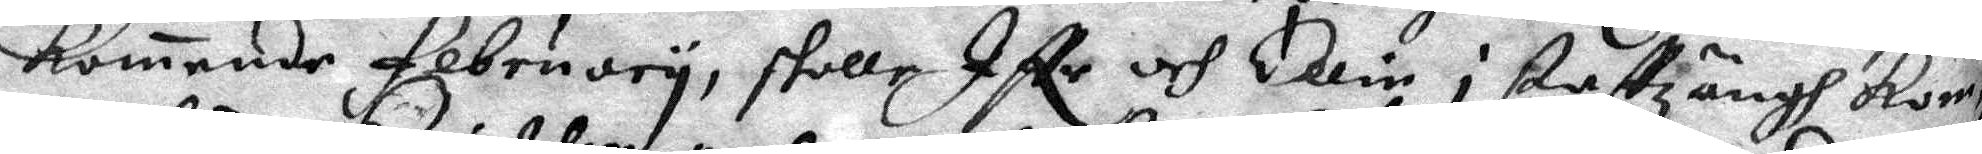komande februory, skolle Iffr och Ellin i stattzängh Kom
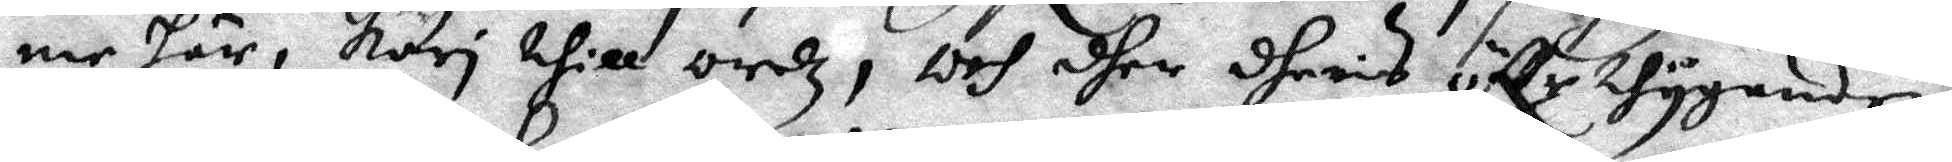me här, Kari thill ordz, och dher dhers öffr thygande 
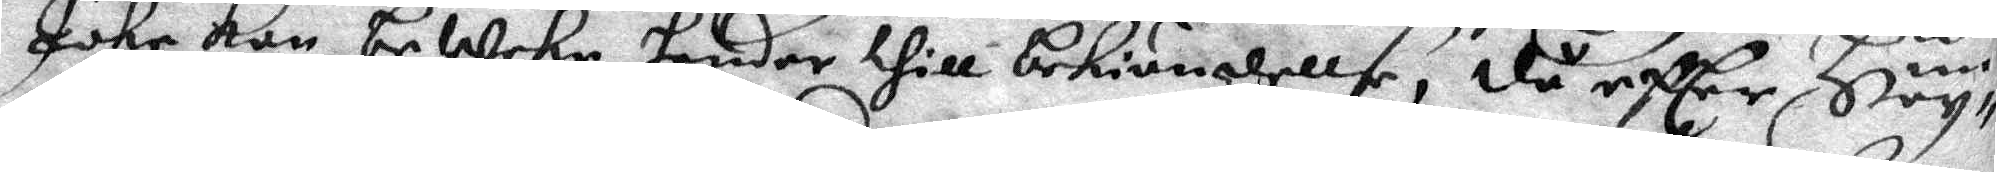Johr kan beWeke hender thill bekiännellse; då efter Hög¬
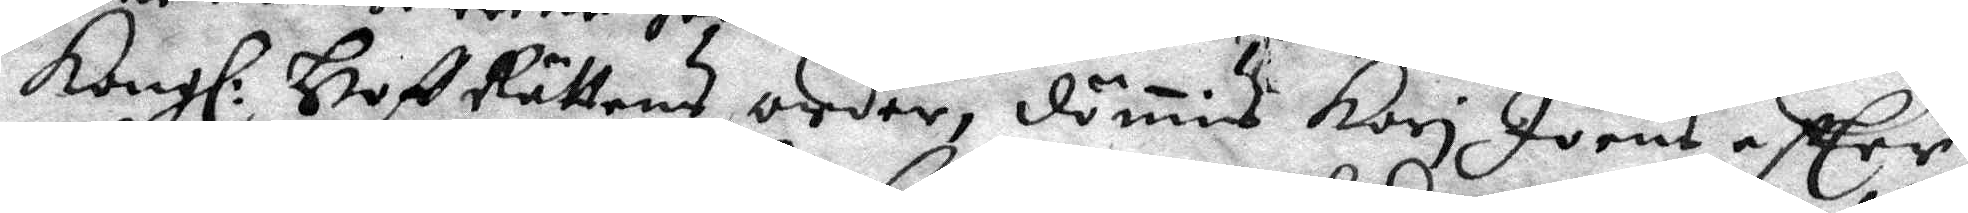Kongl: HoffRättens order, dömis Kari Joens efter 
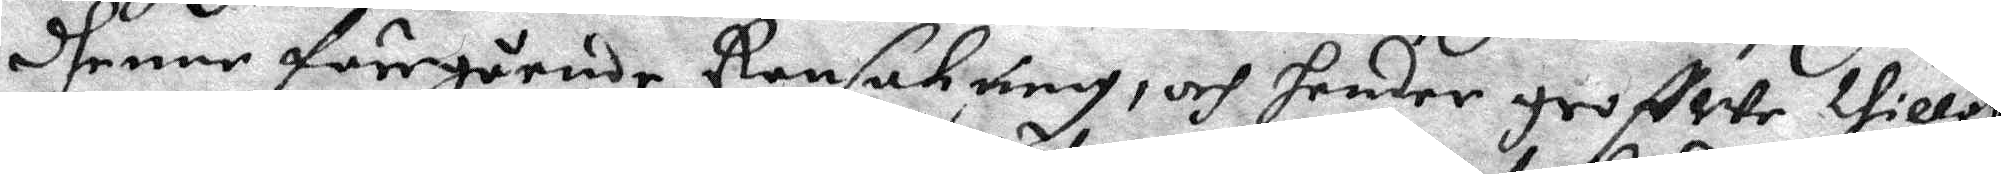dhenne föregående Ransakning, och hender groffwe thillot¬
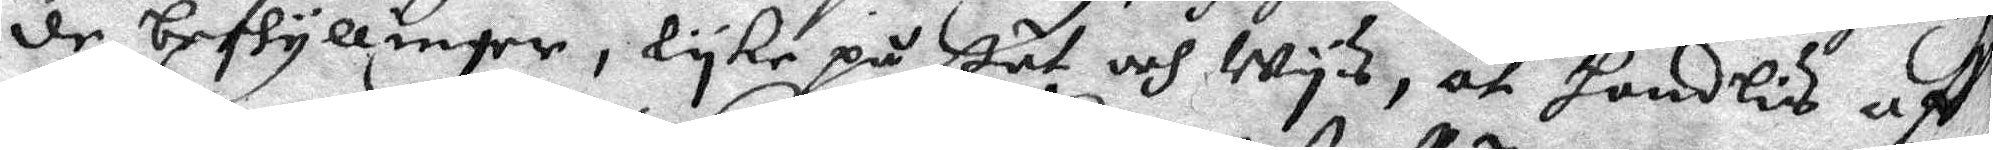de beskyllinger, lyke på ßät och Wys, at handlis aff
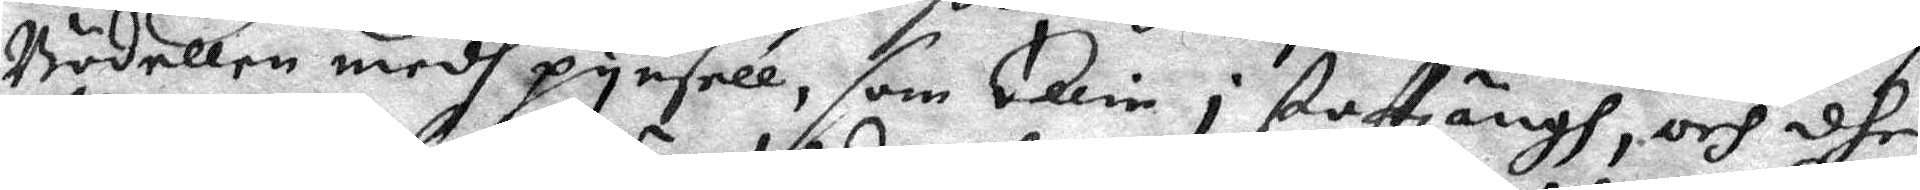Bödellen medh pynsell, som Elin i staftzängh, och dhe
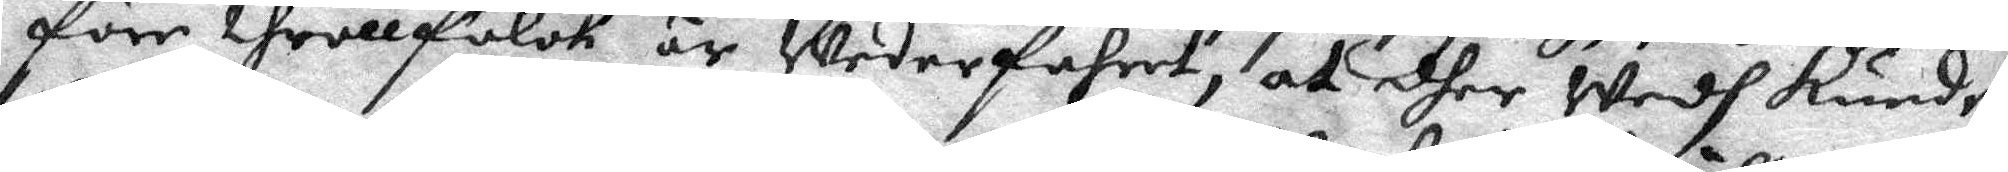före throllfolck är Wederfahret, at dher Wedh kunde
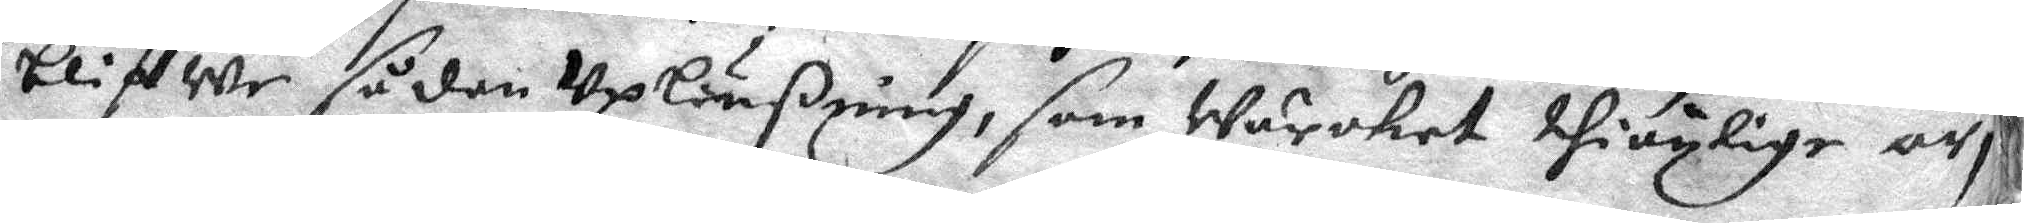bliffwe sådan Uplößning, som Wärcket thiänlige är,
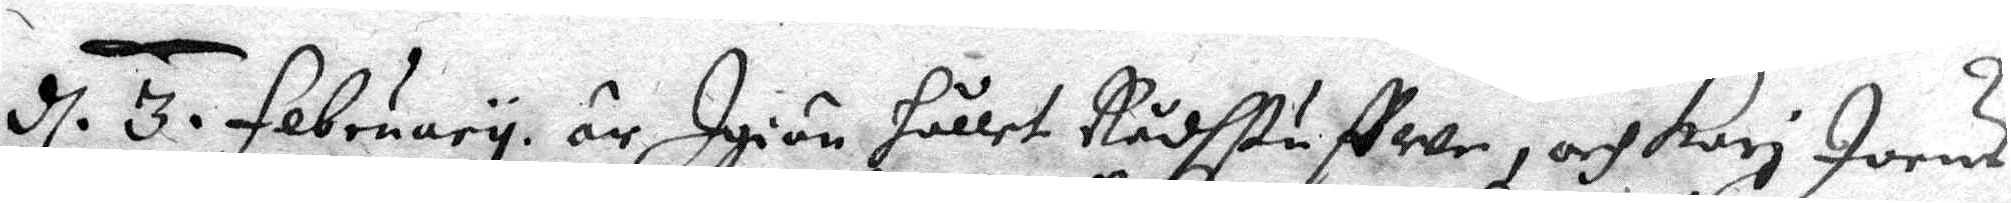d 3. February är Igiän Hållet Rådhstuffwe, och Kari Joens 
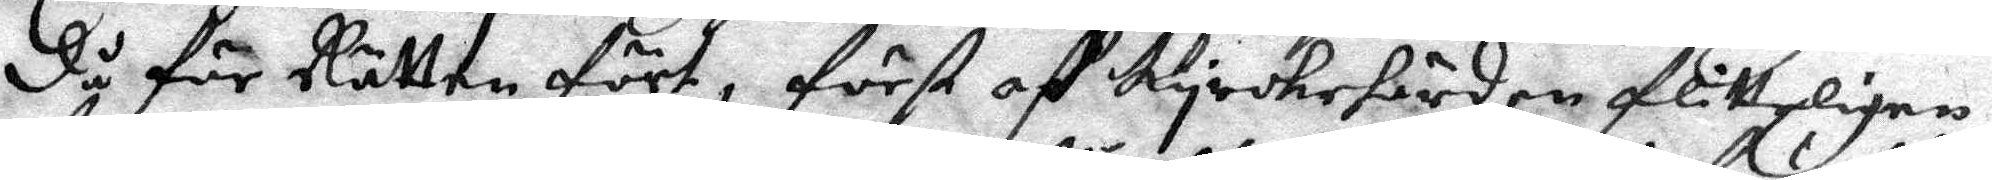då för Rätten fört, först aff Kyrckehärden flitteligen
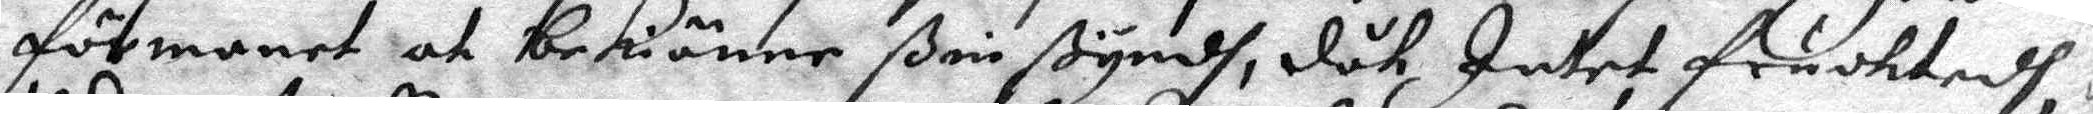förmanet at bekänne ßin ßyndh, dåk Intet fruchtedh,
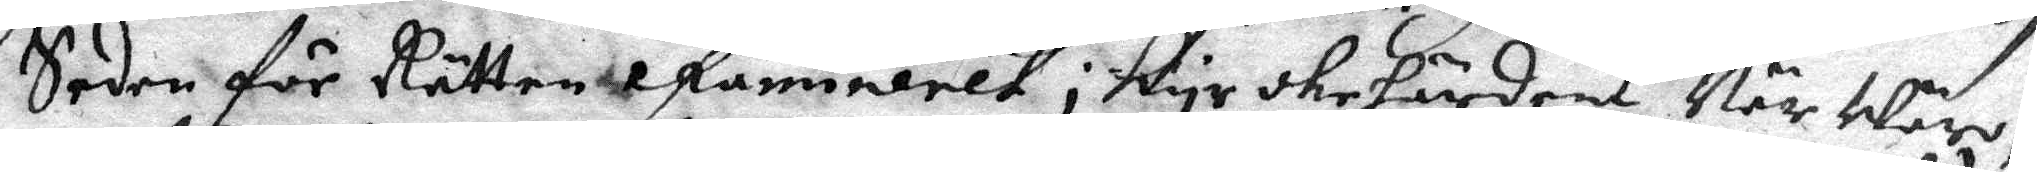Seden för Rätten efaninlelt i kyrchehärdens När Wäro,
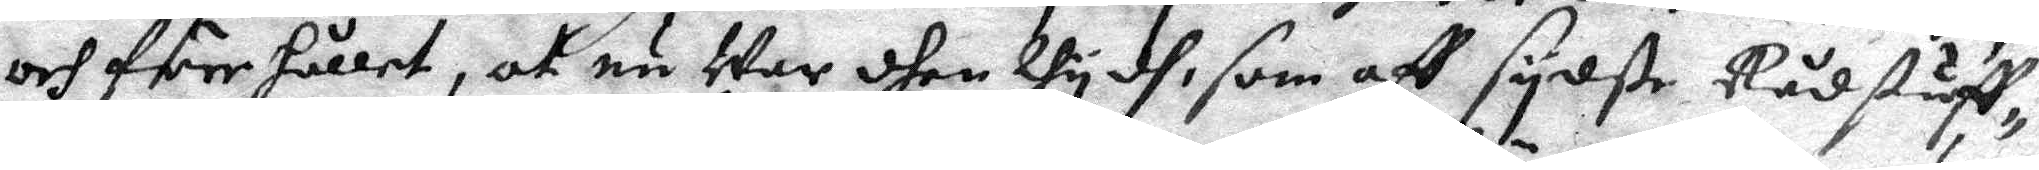och förehållet, at nu War dhen thydh, som aff sydste Rådstuff¬
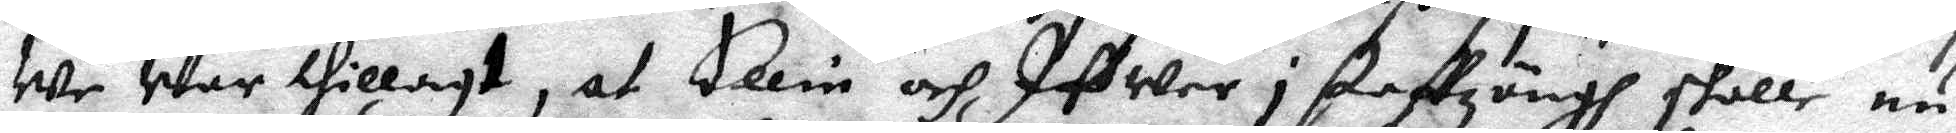we War tillagt, at Ellin och Ifwer i staffzängh skulle nu
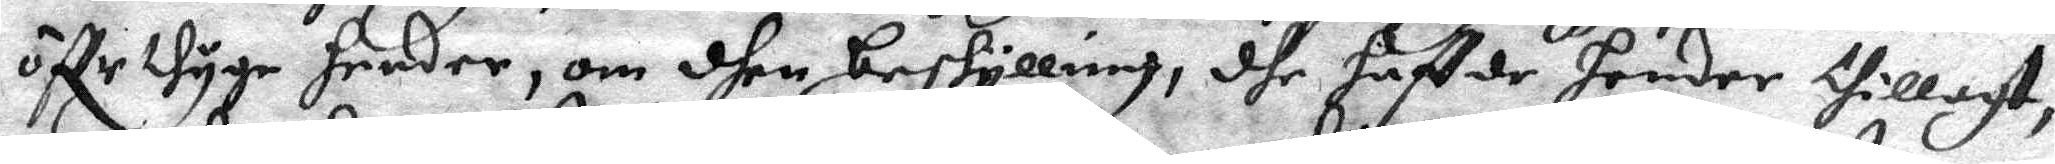öffr thyge hender, om dhen beskyllning, dhe haffde hender thillagt,
